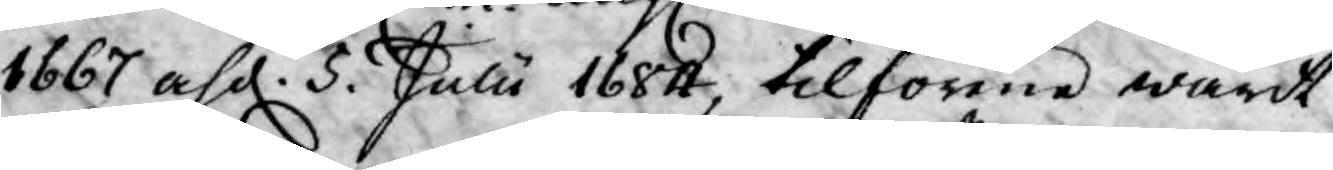1667 af d. 5. Julii 1684, tilförene warit
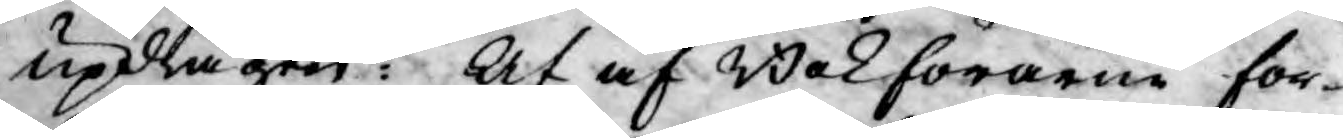updragen: At af Bokförarne for¬
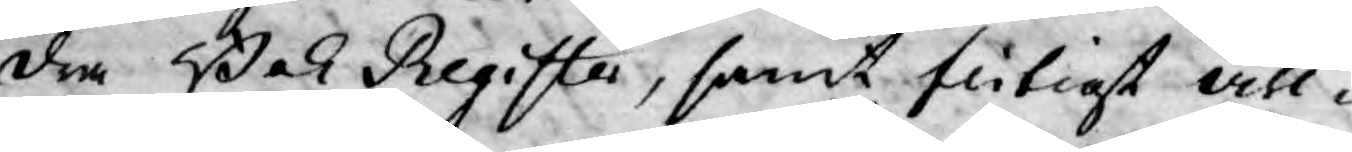dra Bok Register, samt flitigt visi¬
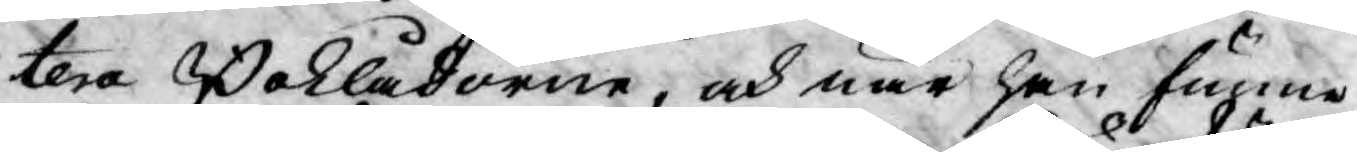tera Boklådorne, och när han funne
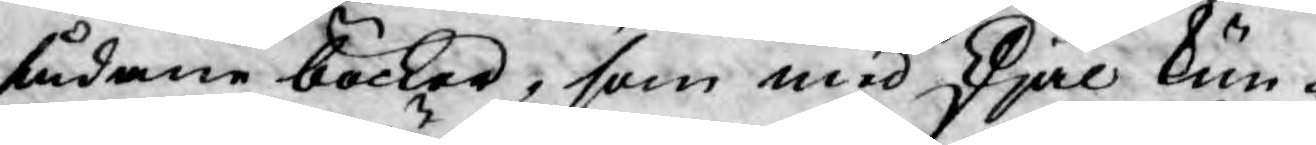sådane böcker, som med skjäl kun¬
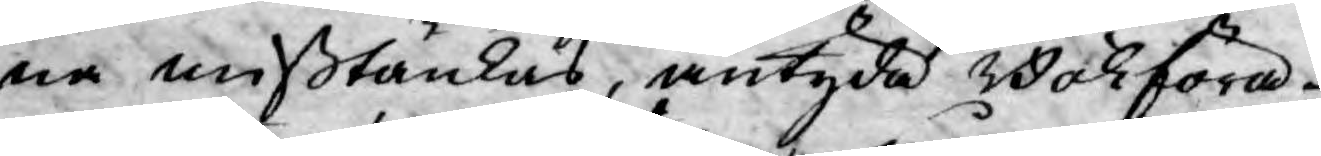na mißtänkas, antyda Bokföra¬
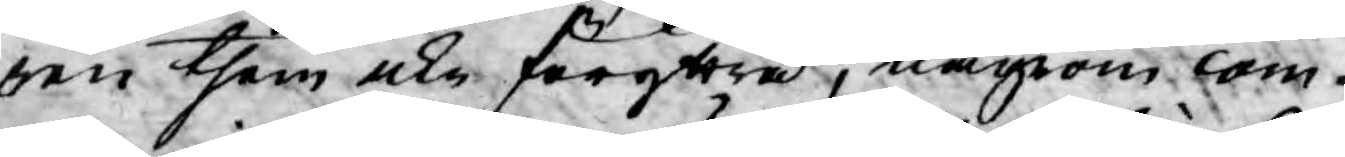ren them icke föryttra, någrom com¬
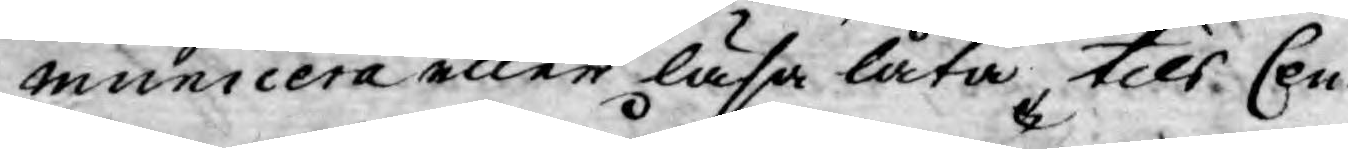municera eller läsa låta tils Cen¬
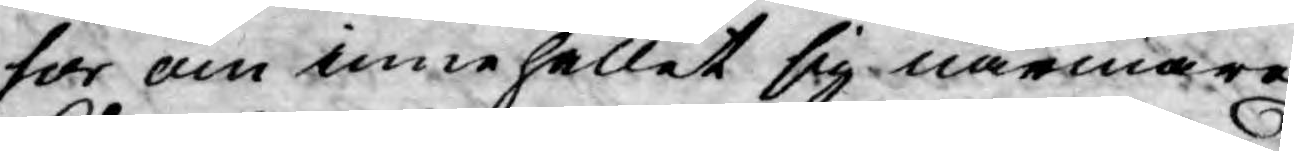sor om innehållet sig närmare
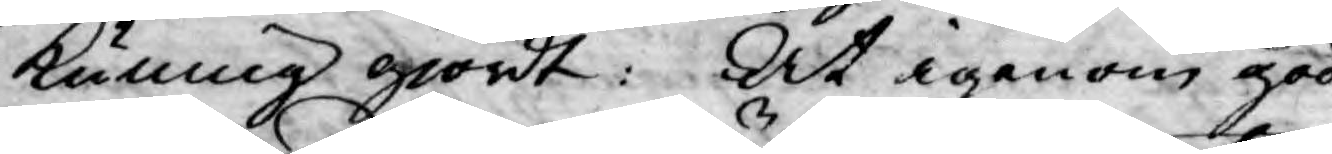kunnig giordt: At igenom god
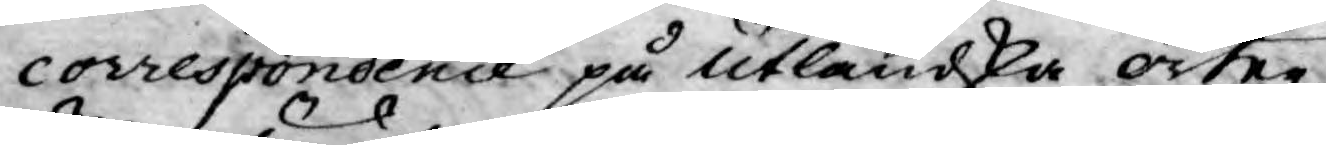correspondence på utländska orter,
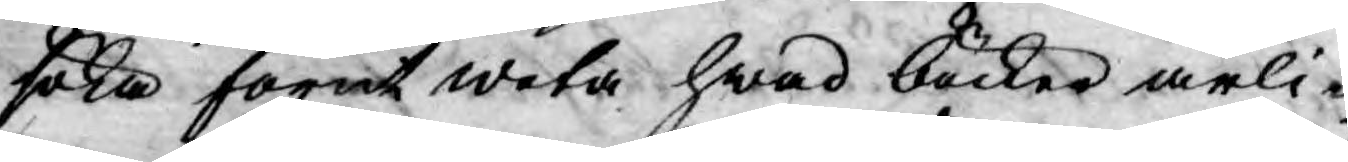söka förut weta hwad böcker årli¬
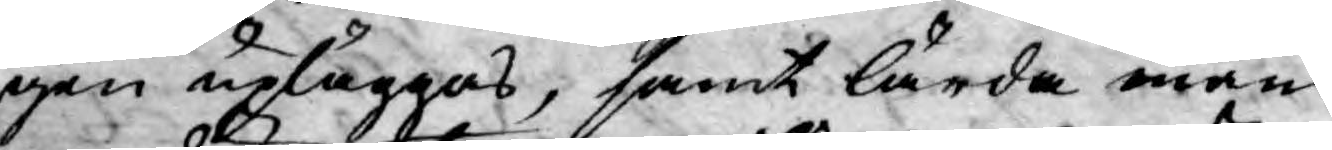gen upläggas, samt lärda mäns
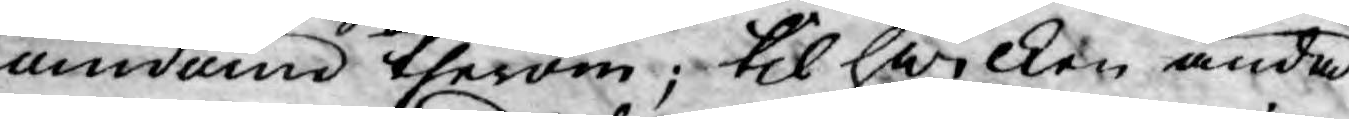andum therom; til hwilken ända
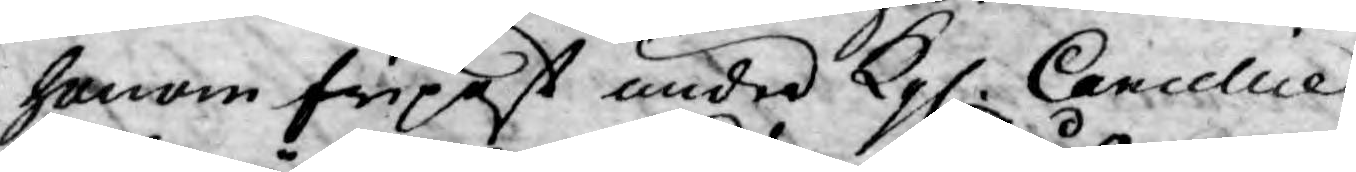honom fripost under Kgl. Cancellice,
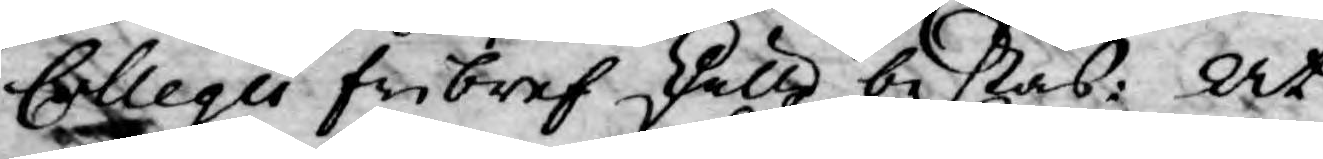Collegii fribref skulle bestås: At
